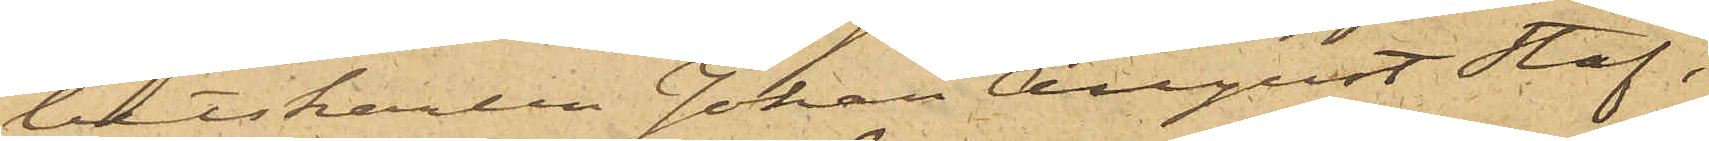betskarlen Johan August Staf,
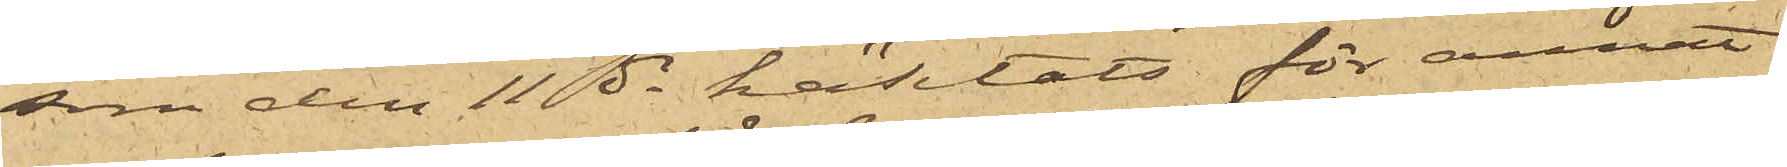som den 11 ds häktats för annat
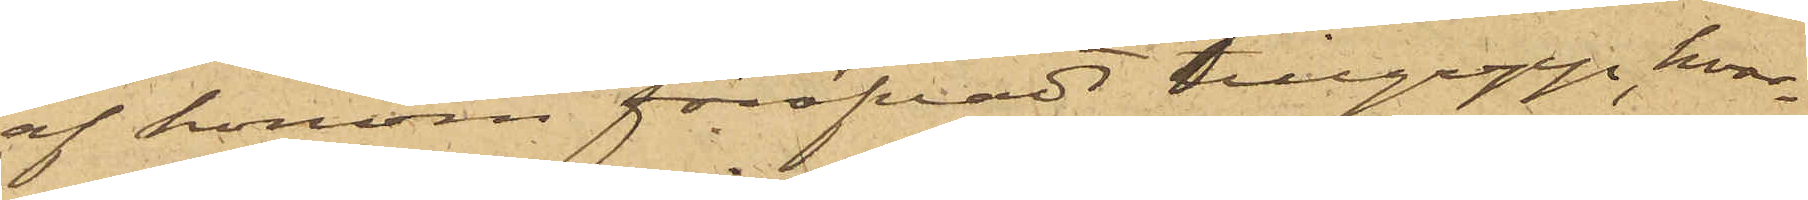af honom föröfvadt tillgrepp, hvar¬
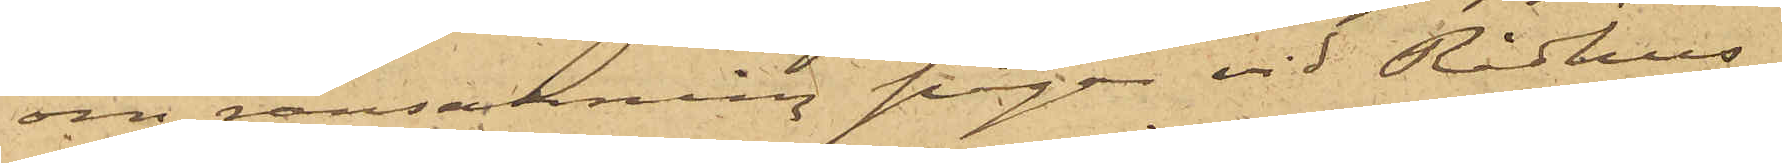om ransakning pågår vid Rådhus¬
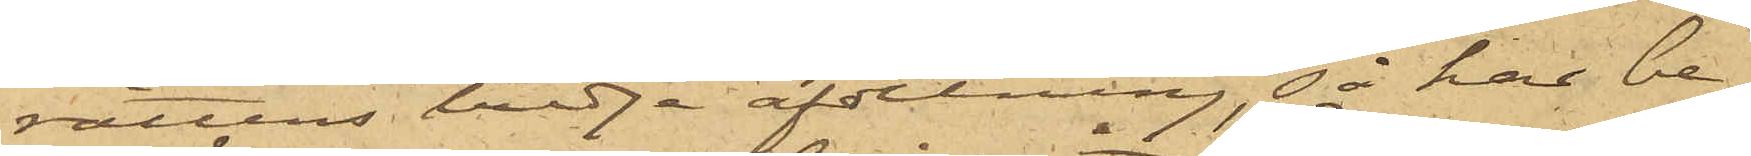rättens tredje afdelning, så har be¬
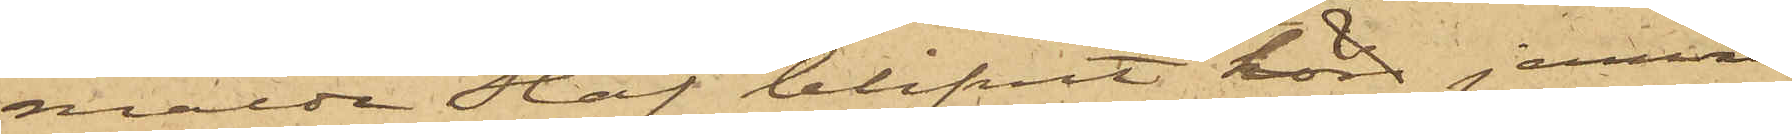mälde Staf blifvit hörd jemväl
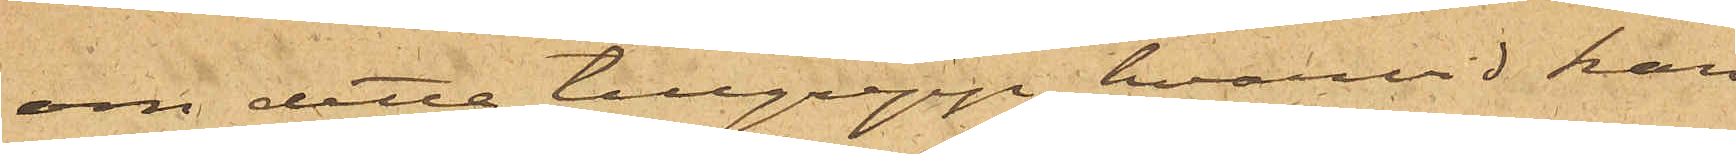om detta tillgrepp, hvarvid han
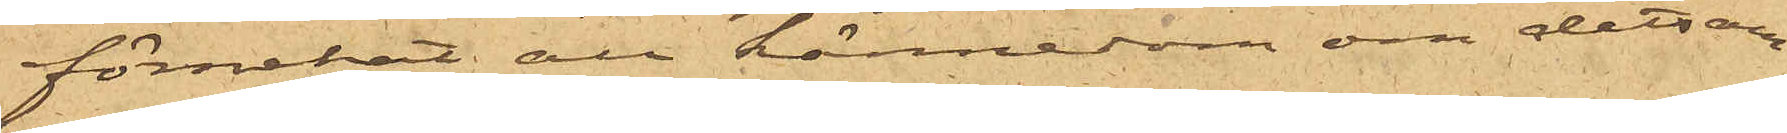förnekat all kännedom om detsam¬
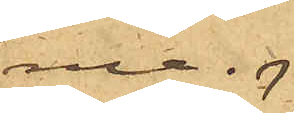ma.
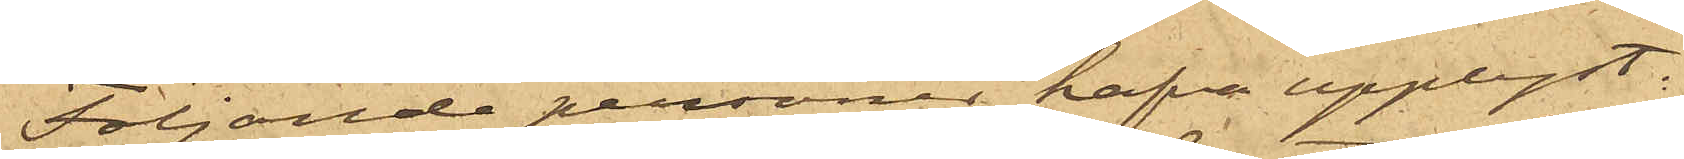Följande personer hafva upplyst.
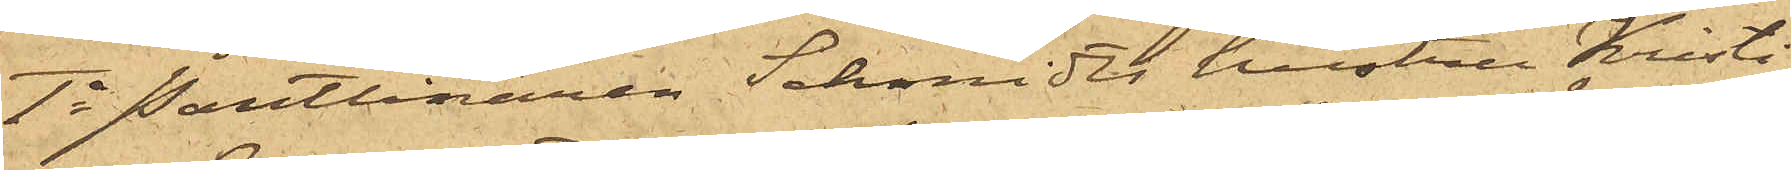1o Pantlånaren Schmidts hustru Kristi¬
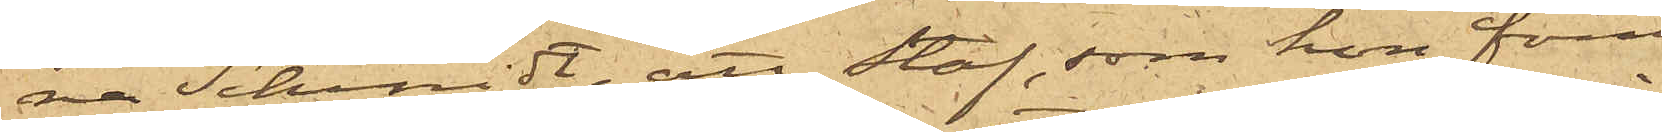na Schmidt, att Staf, som hon förut
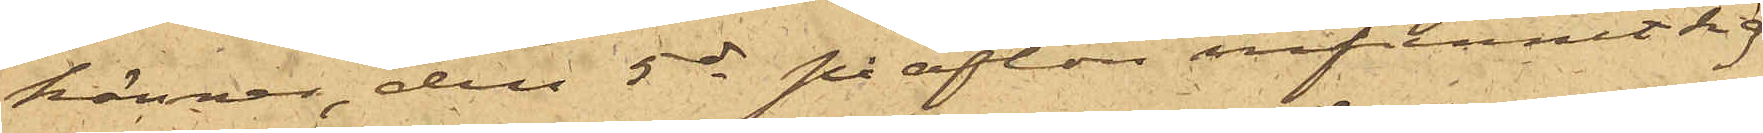känner, den 5 ds på afton infunnit sig
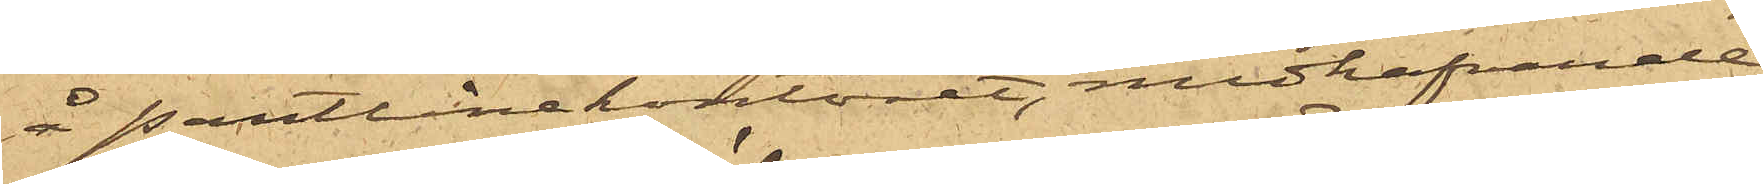å pantlånekontoret, medhafvande
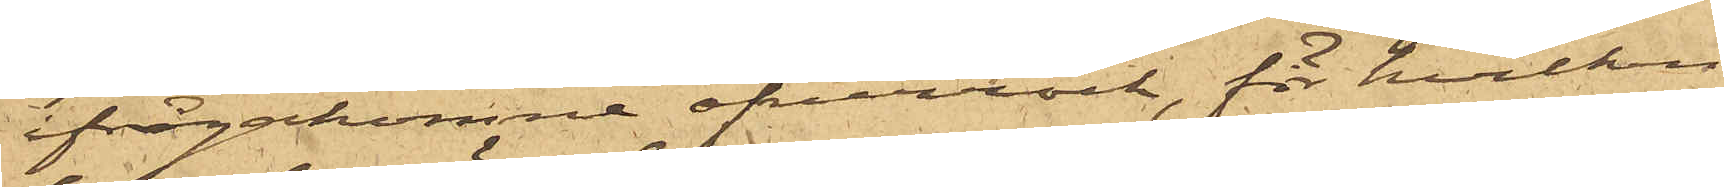ifrågakomne öfverrock, för hvilken
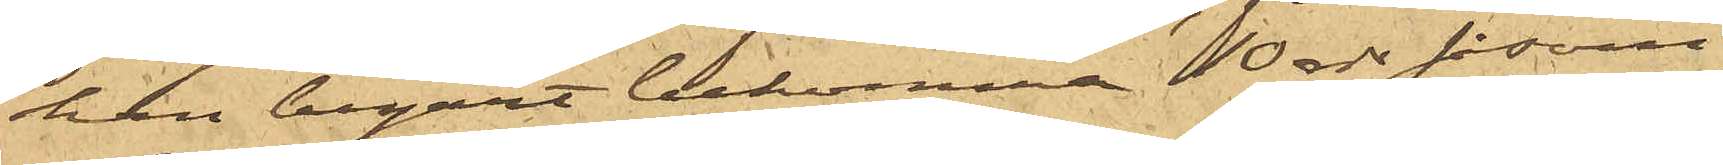han begärt bekomma 10 rdr såsom
